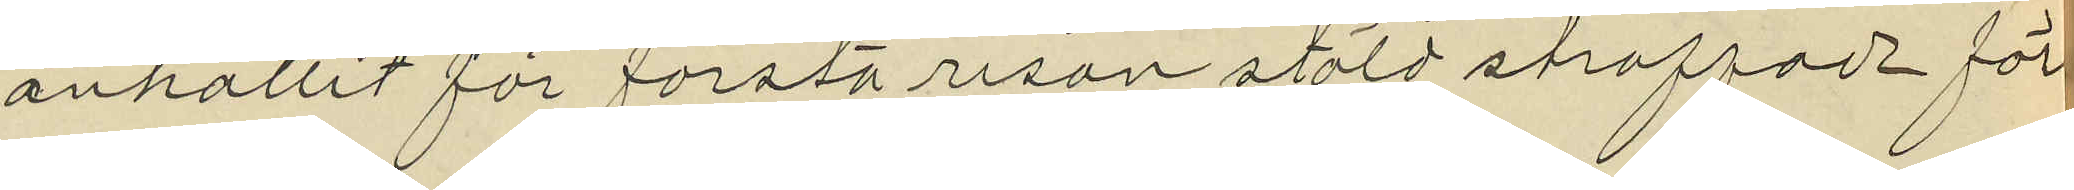anhållit för första resan stöld straffade för
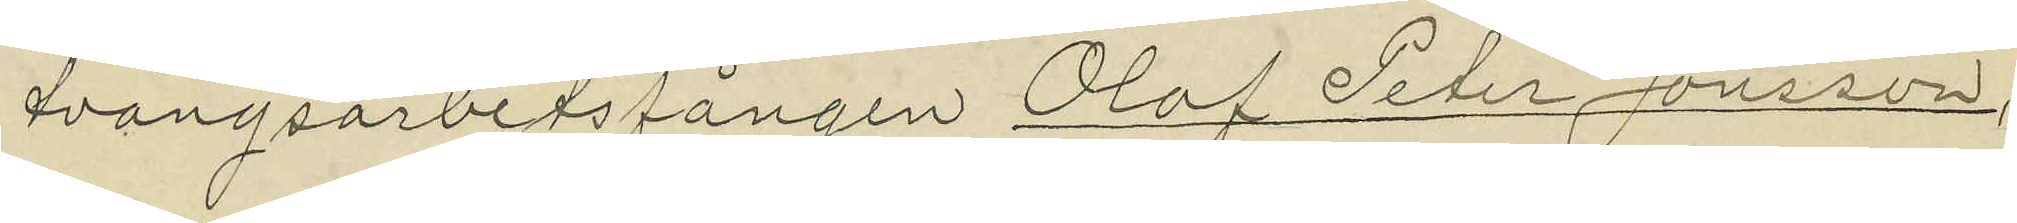tvångsarbetsfången Olof Peter Jonsson,
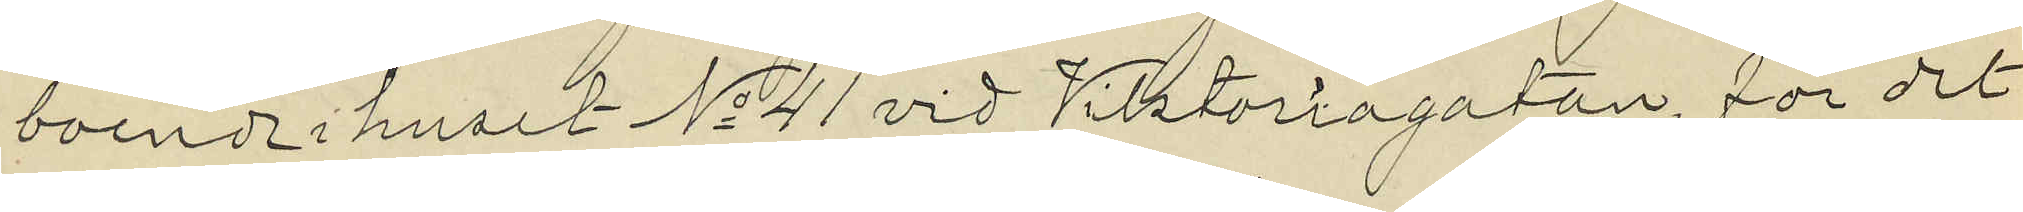boende i huset No 41 vid Viktoriagatan, för det
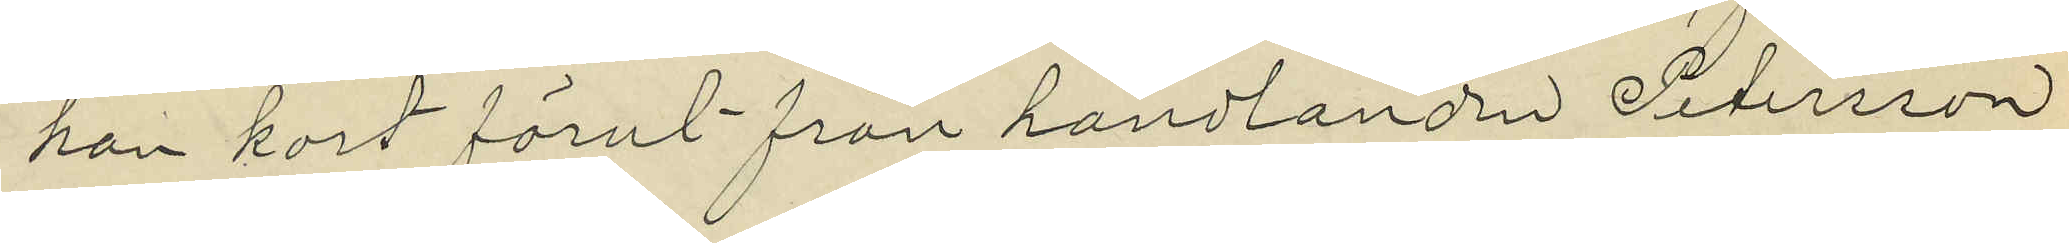han kort förut från handlanden Petersson
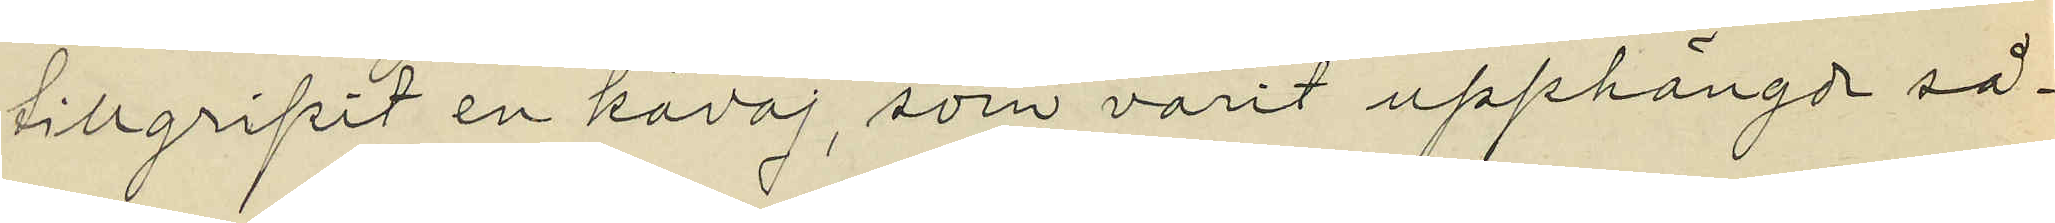tillgripit en kavaj, som varit upphängd så¬
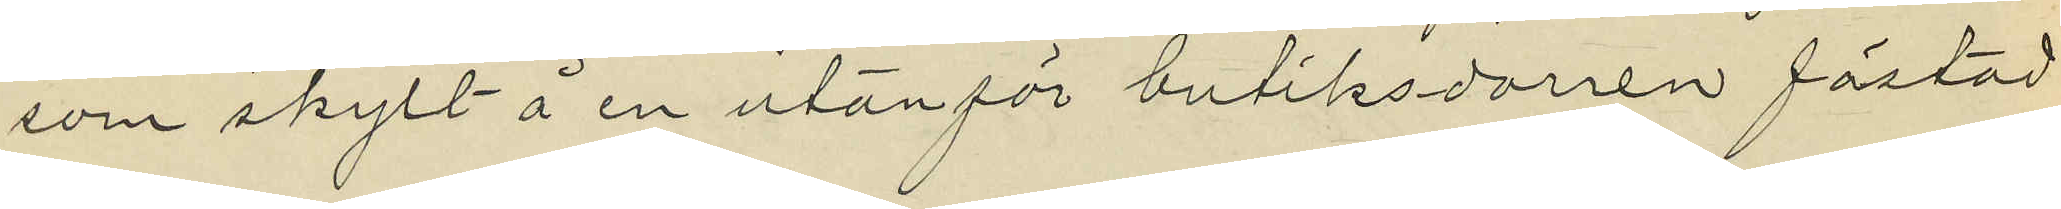som skylt å en utanför butiksdörren fästad
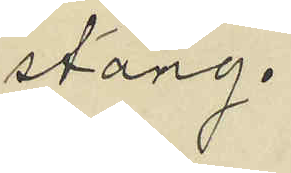stång.
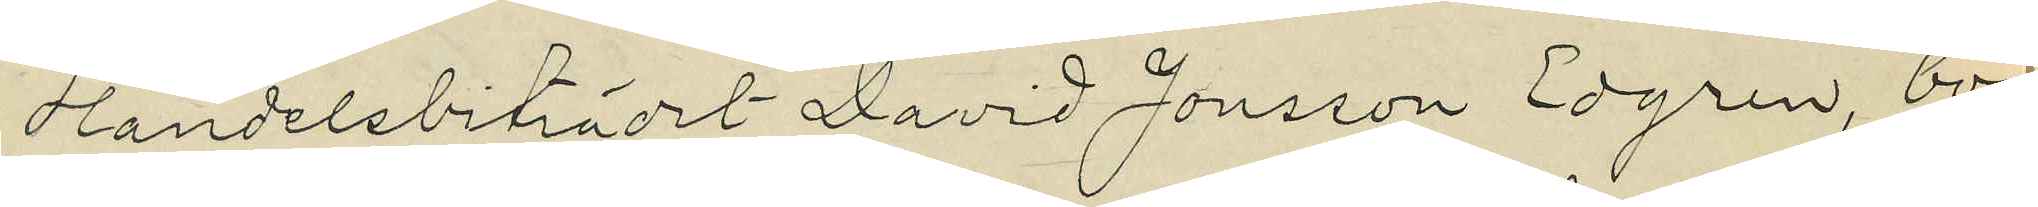Handelsbiträdet David Jonsson Edgren, boen¬
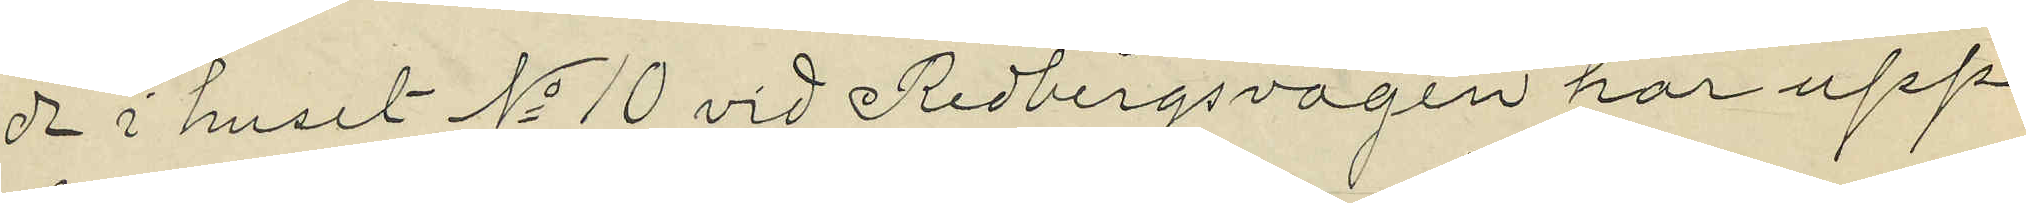de i huset No 10 vid Redbergsvagen har upp¬
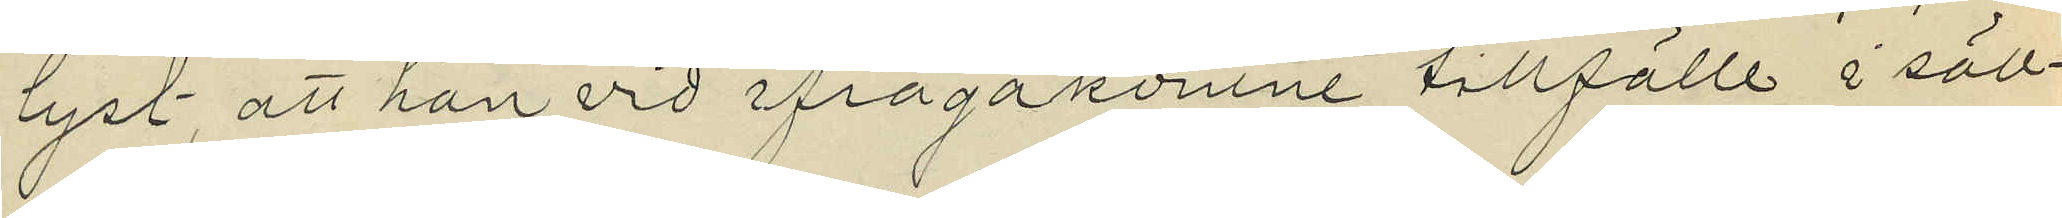lyst, att han vid ifrågakomne tillfälle i säll¬
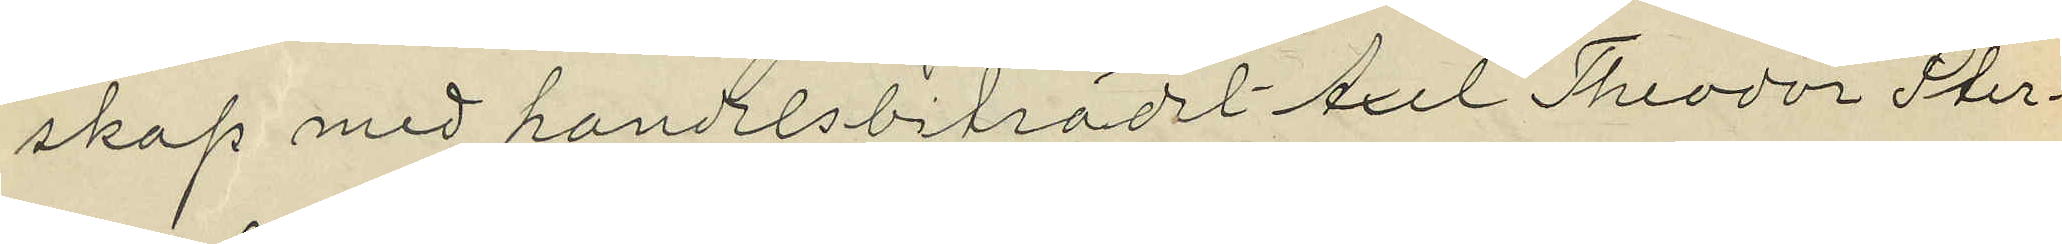skap med handelsbiträdet Axel Theodor Ster¬
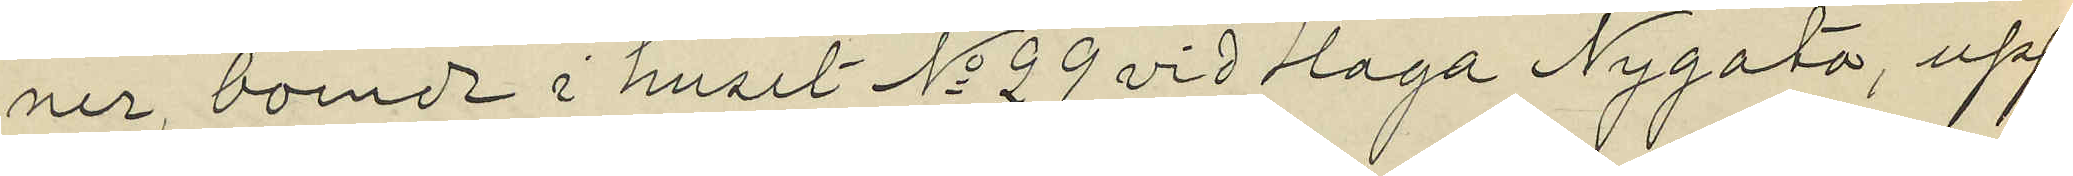ner, boende i huset No 29 vid Haga Nygata, upp¬
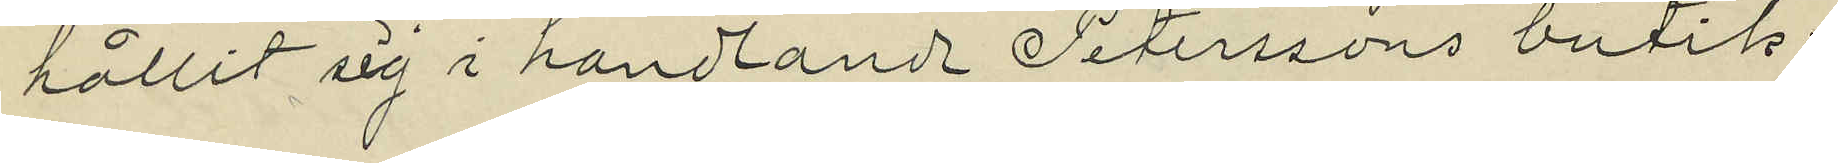hållit sig i handlande Peterssons butik;
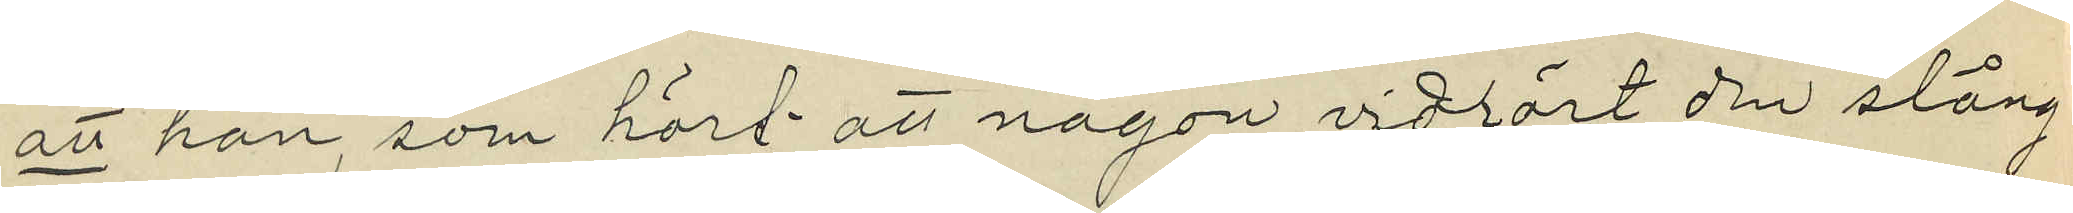att han, som hört att någon vidrört den stång
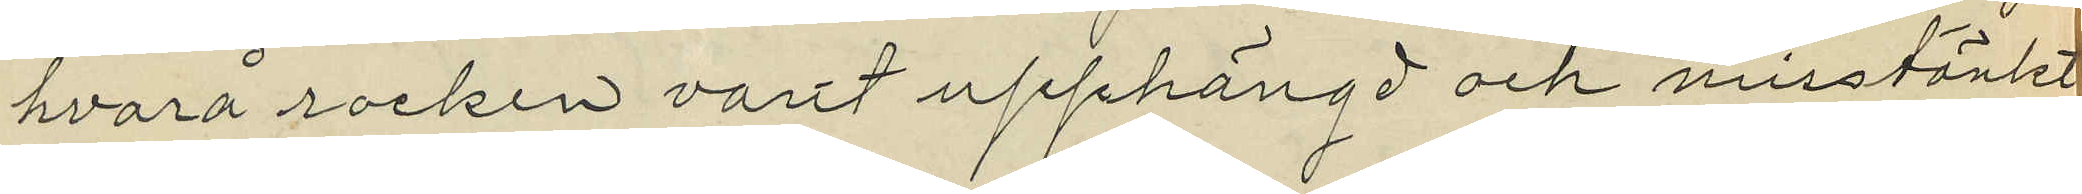hvarå rocken varit upphängd och misstänkt
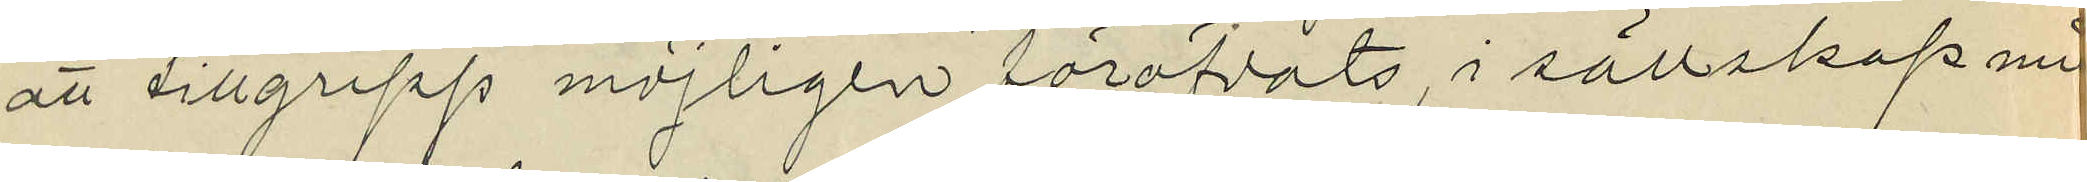att tillgrepp möjligen föröfvats, i sällskap med
